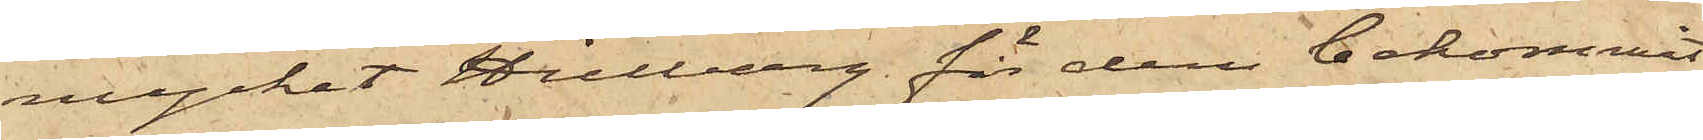mycket Hillberg för dem bekommit
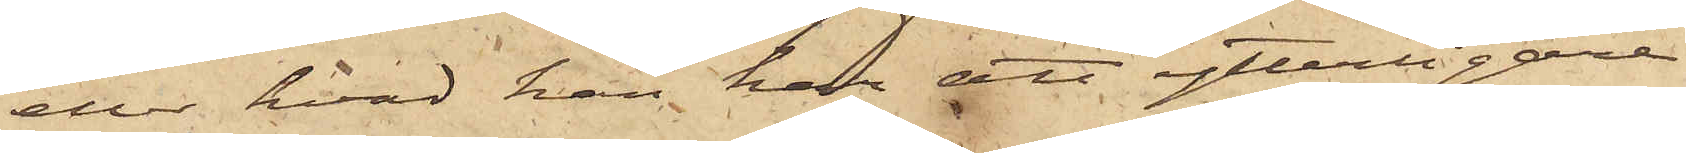eller hvad han har att ytterligare
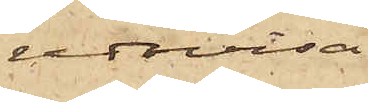redovisa.
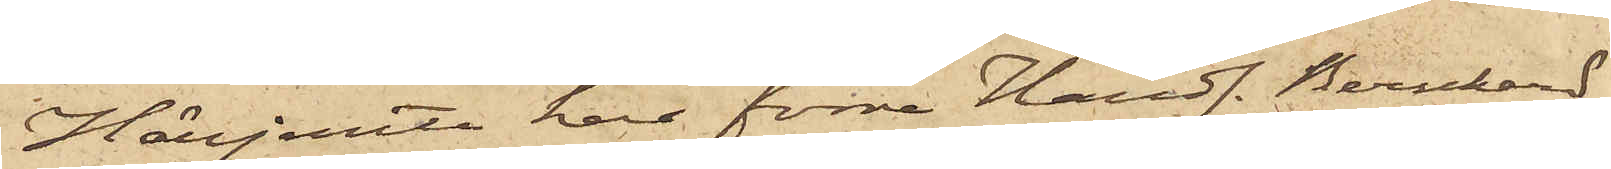Härjemte har förre Handl. Bernhard
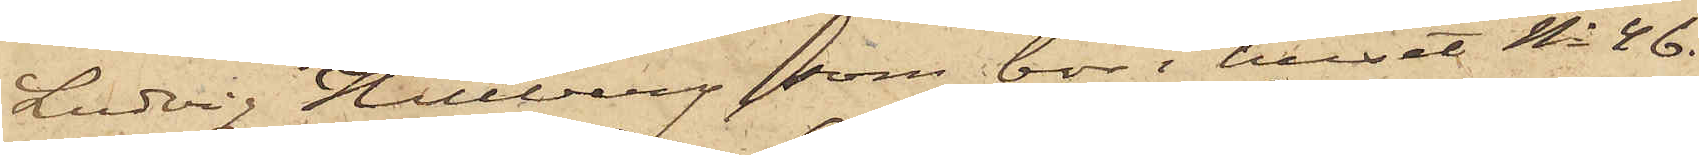Ludvig Hillberg, som bor i huset No 46
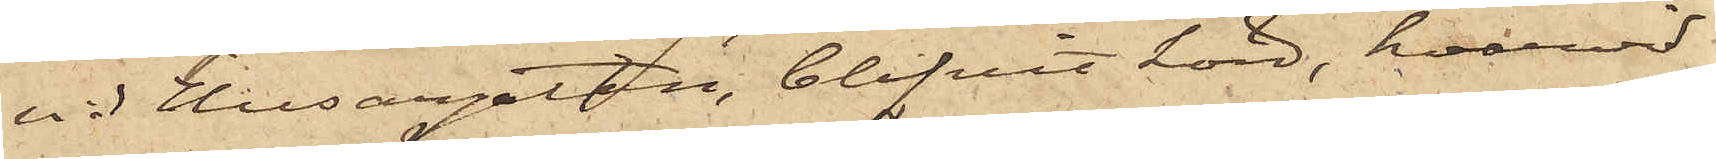vid Husargatan, blifvit hörd, hvarvid
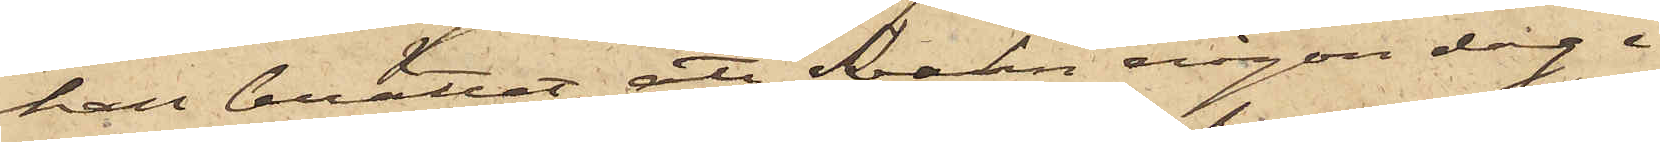han berättat, att Svahn någon dag i
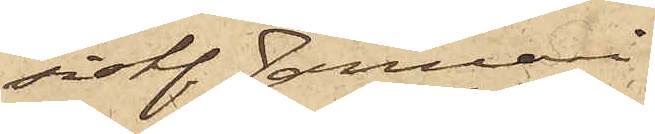sist. Januari
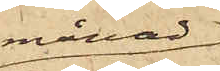månad
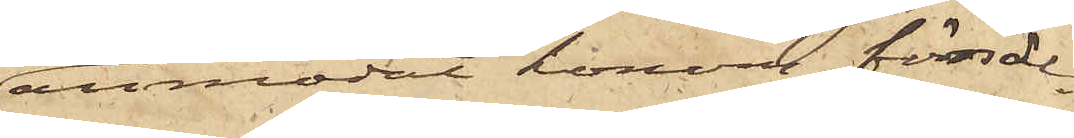anmodat honom försäl¬
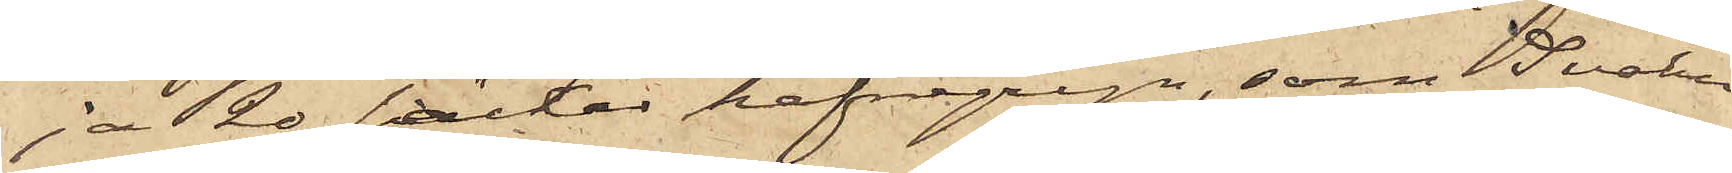ja 20 säckar hafregryn, som Svahn
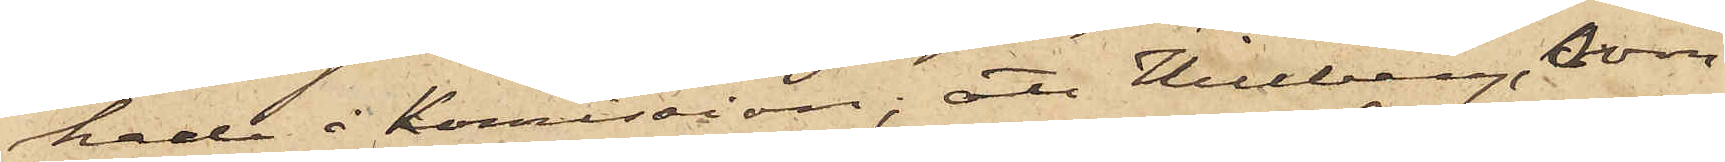hade i kommission; att Hillberg, som
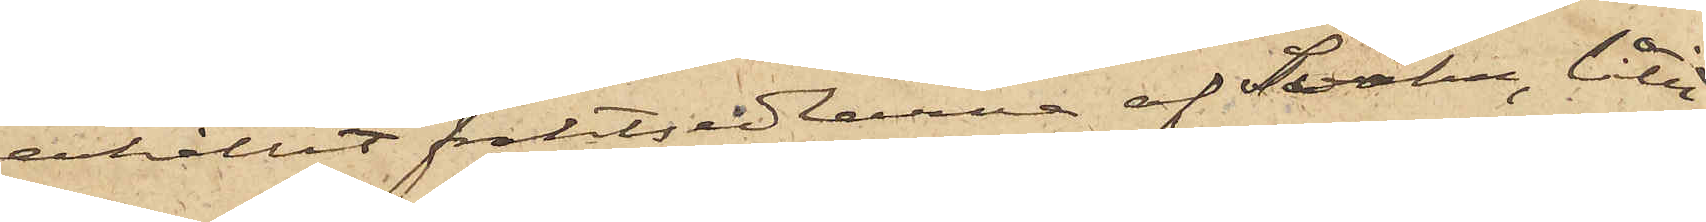erhållit fraktsedlarne af Svahn, låtit
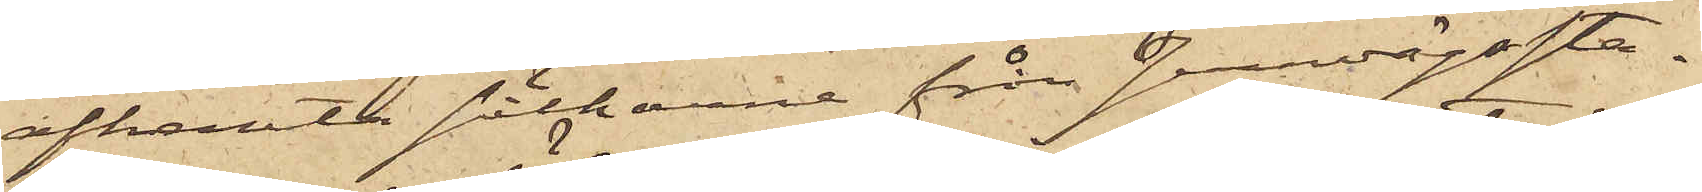afhemta säckarna från Jernvägssta¬
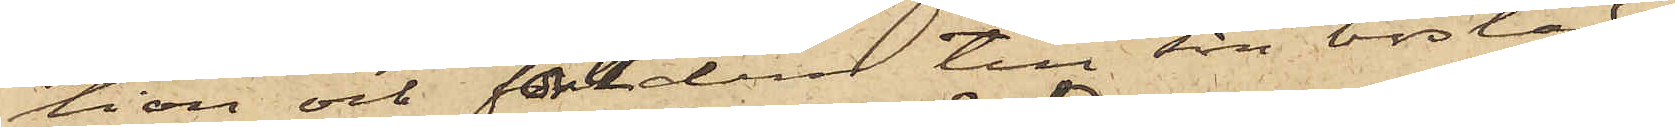tion och fört dem till sin bostad;
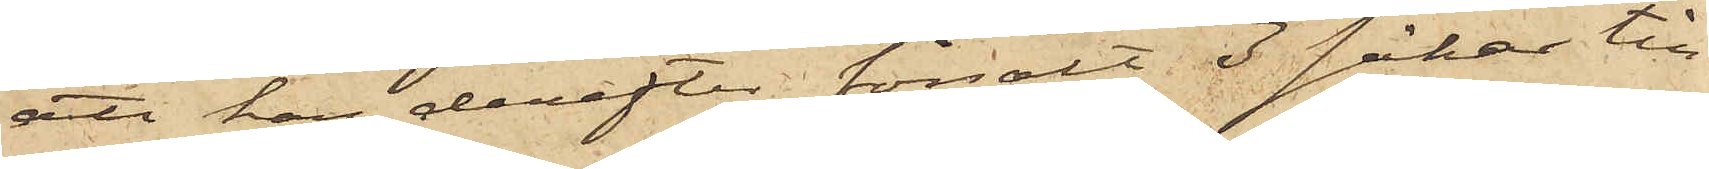att han derefter försålt 3 säckar till
